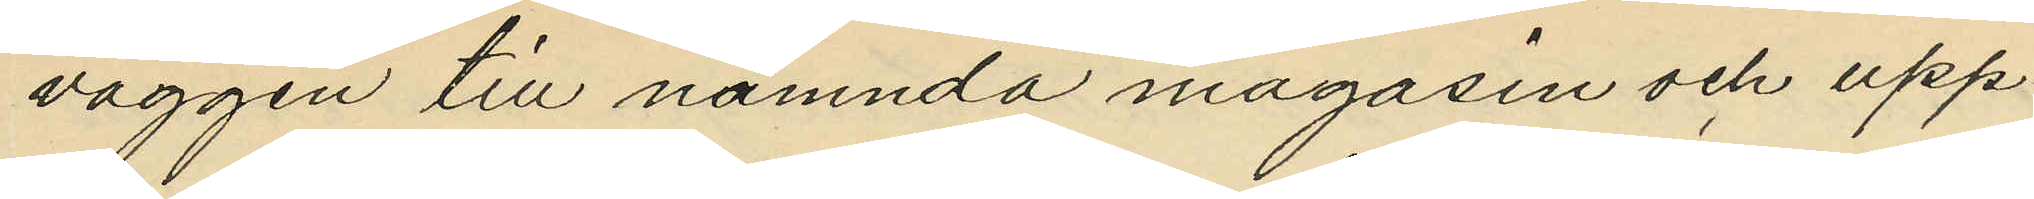väggen till nämnda magasin och upp¬
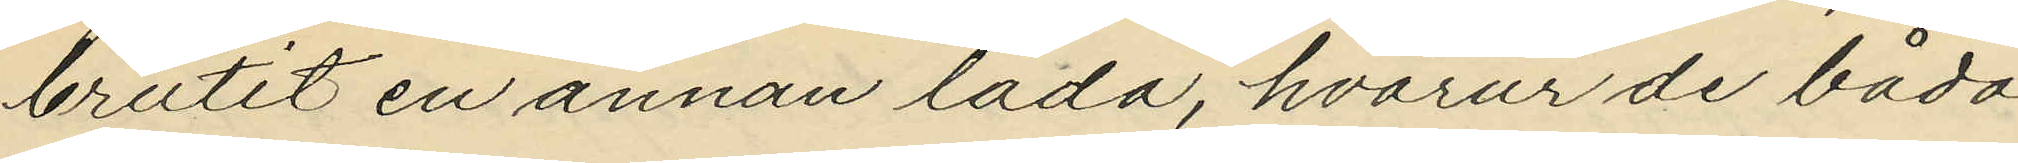brutit en annan låda, hvarur de båda 
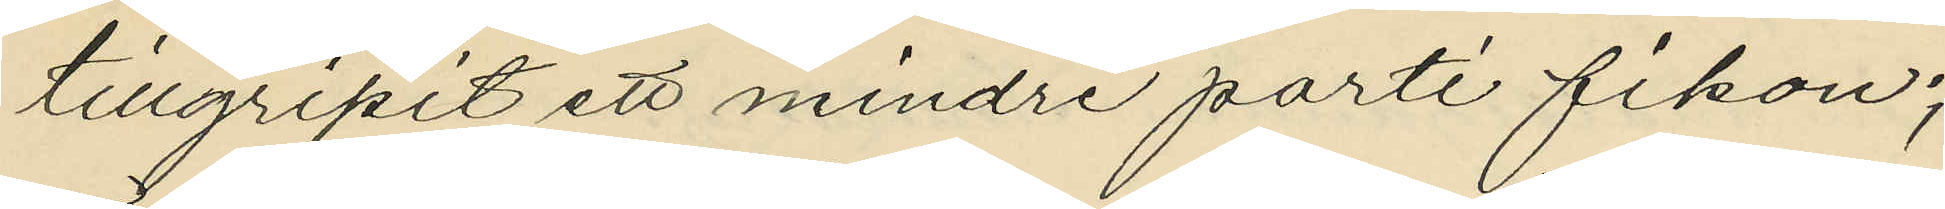tillgripit ett mindre parti fikon;
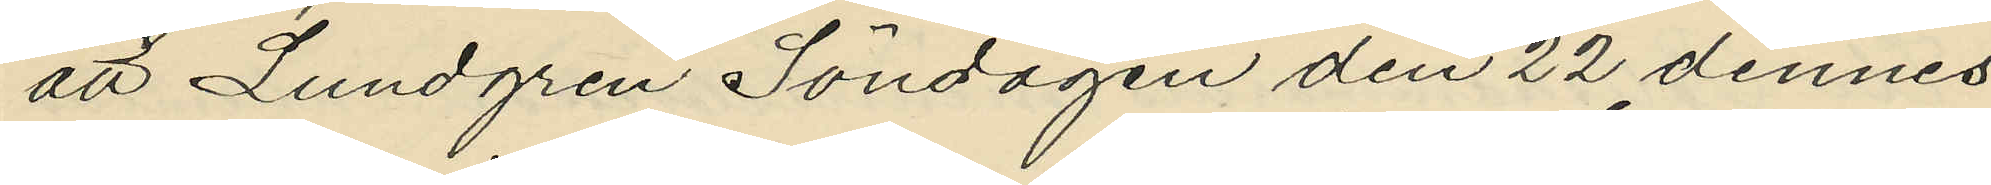att Lundgren Söndagen den 22 dennes
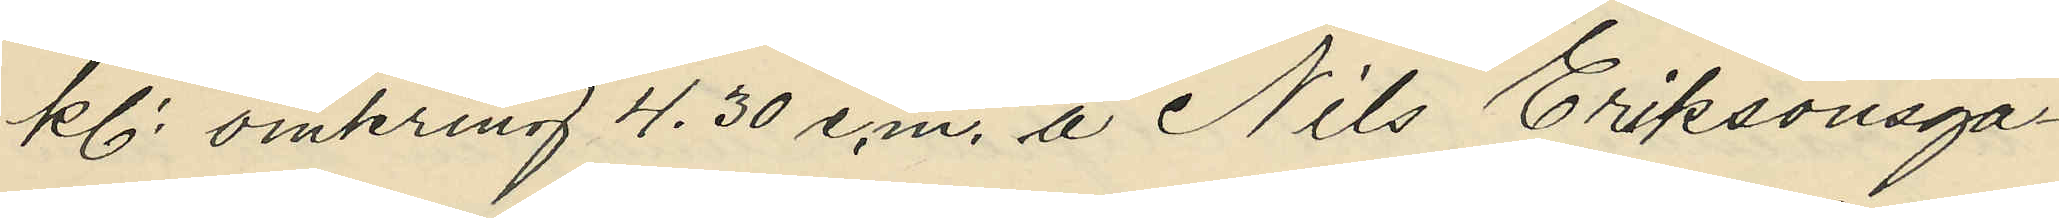kl. omkring 4.30 e.m. å Nils Eriksonsga¬
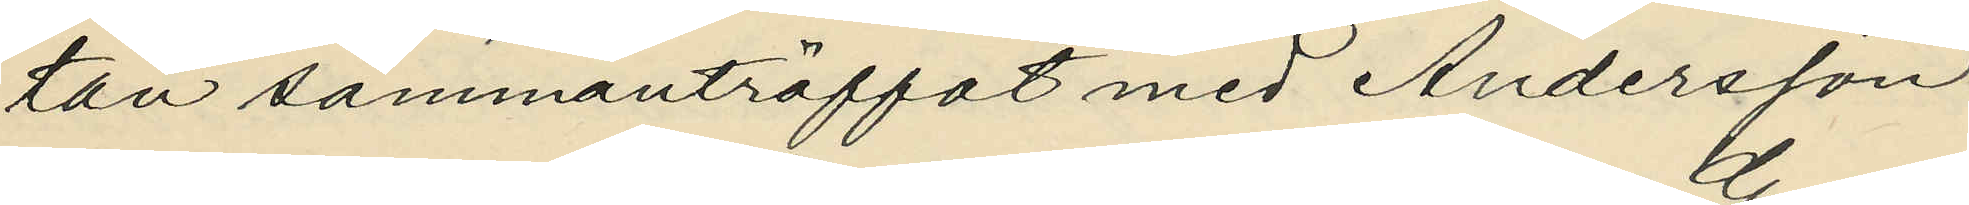tan sammanträffat med Andersson
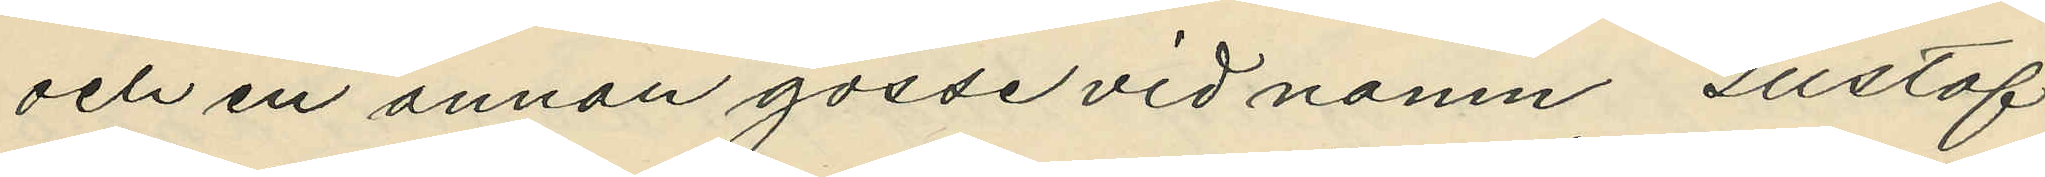och en annan gosse vid namn Gustaf
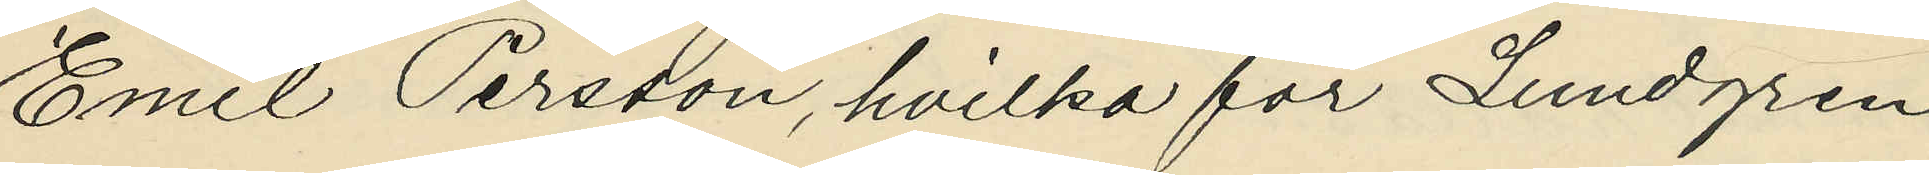Emil Persson, hvilka för Lundgren
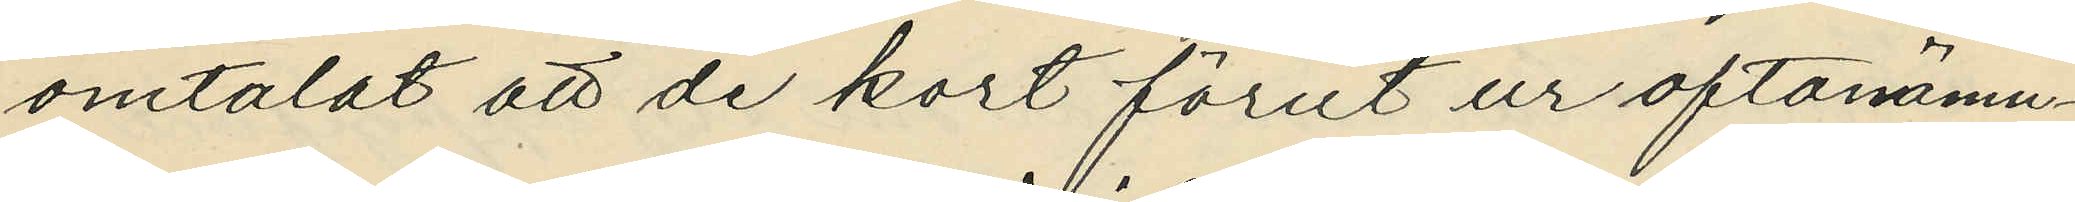omtalat att de kort förut ur oftanämn¬
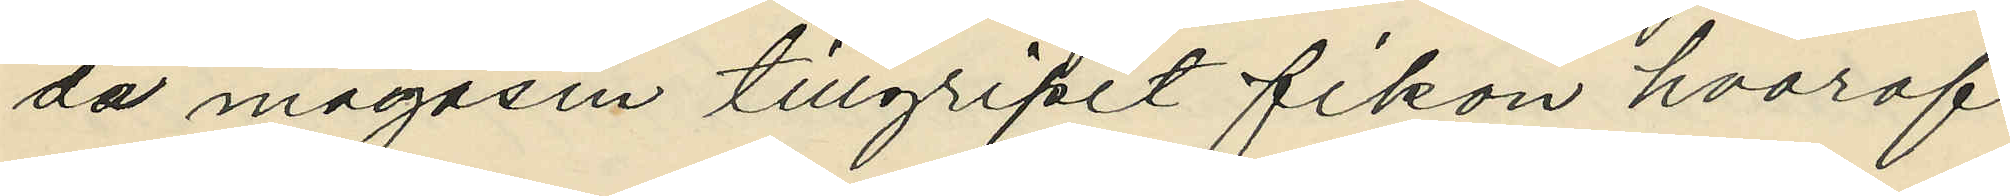de magasin tillgripit fikon hvaraf
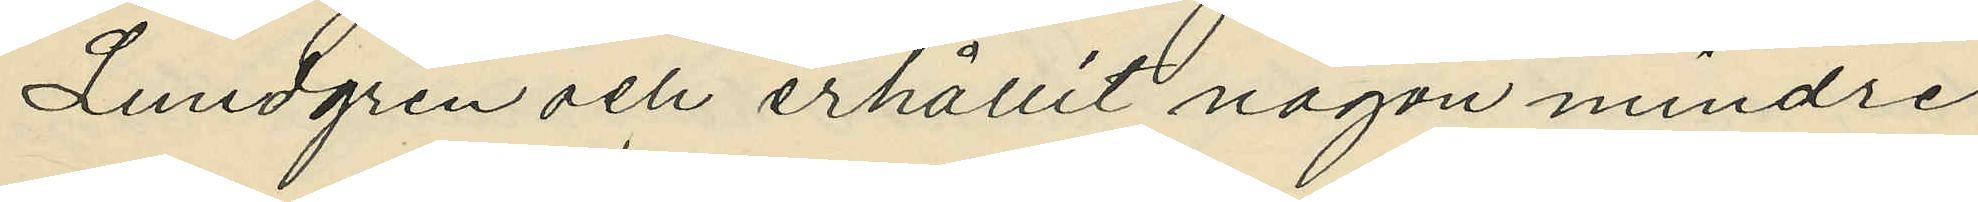Lundgren och erhållit någon mindre
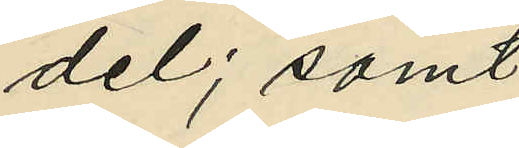del; samt
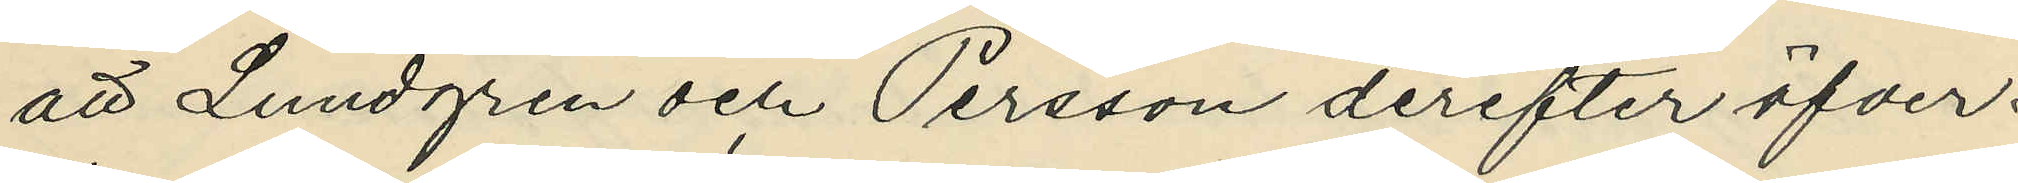att Lundgren och Persson derefter öfver¬
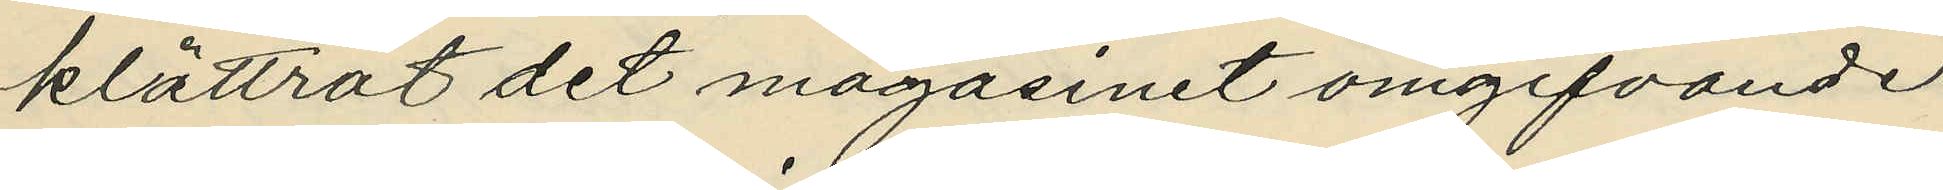klättrat det magasinet omgifvande
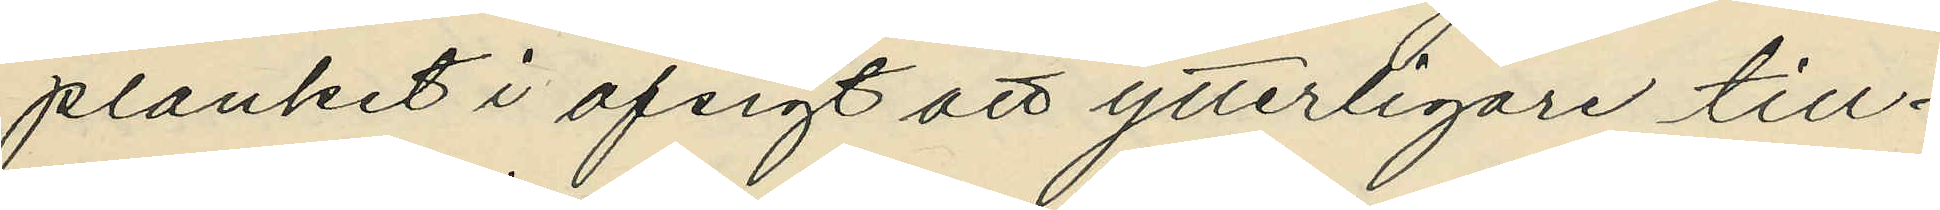planket i afsigt att ytterligare tll¬
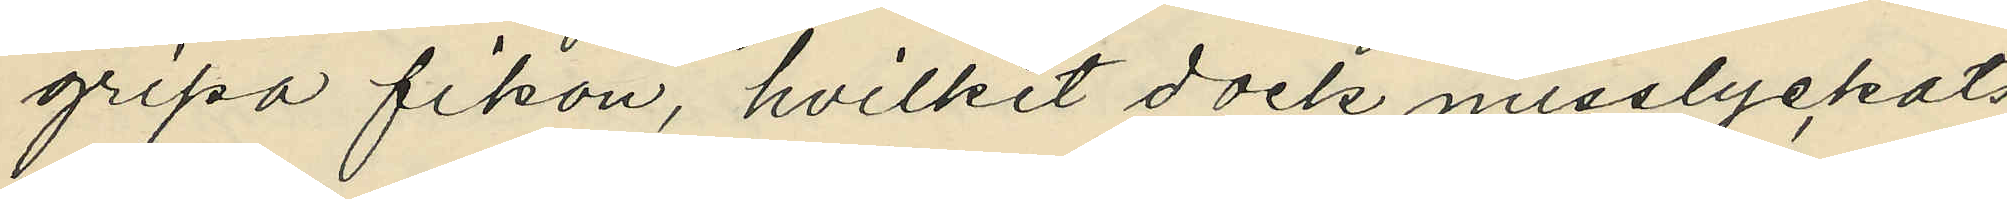gripa fikon, hvilket dock misslyckats
